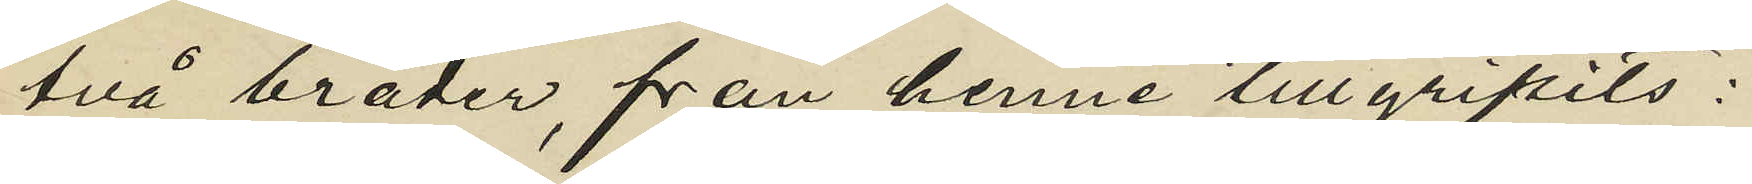två bräder, från henne tillgripits:
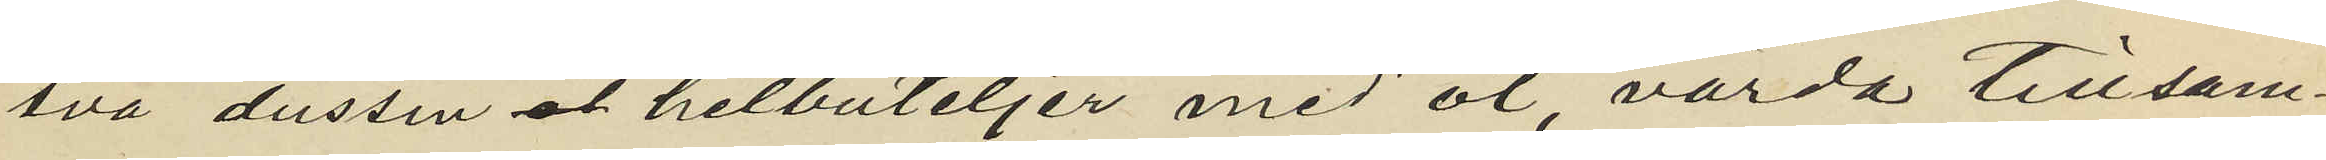två dussin helbuteljer med öl, värda tillsam¬
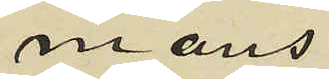mans
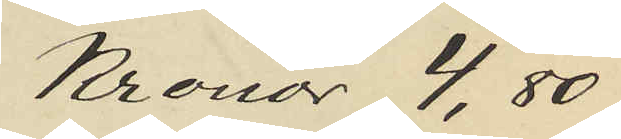Kronor 4,80
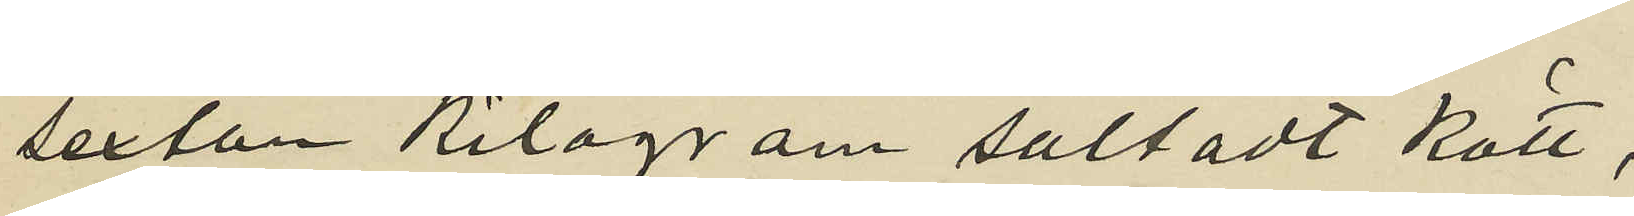sexton Kilogram saltadt kött,
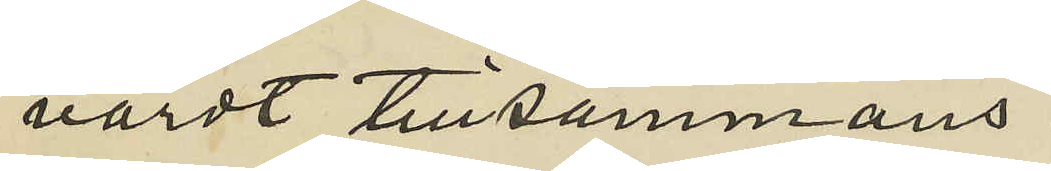värdt tillsammans
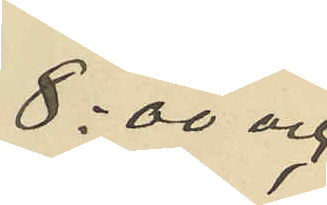8:00 och
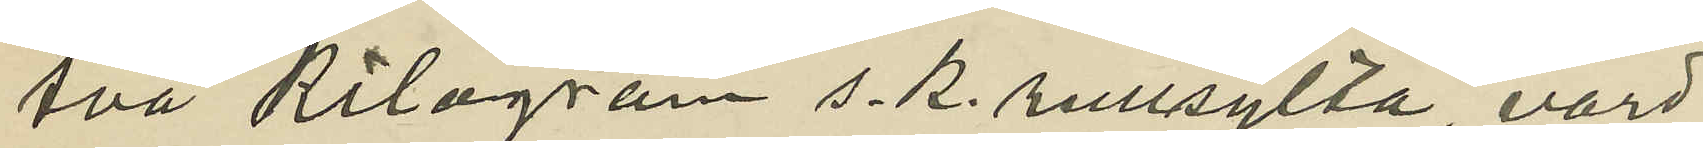fvå kilogram s. k. rullsylta, värd
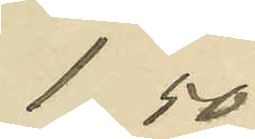1,50
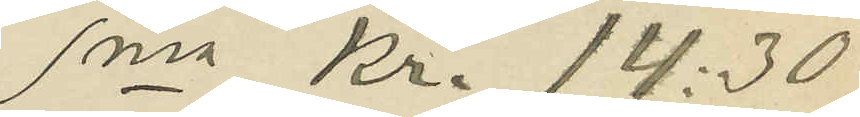Sma Kr. 14:30
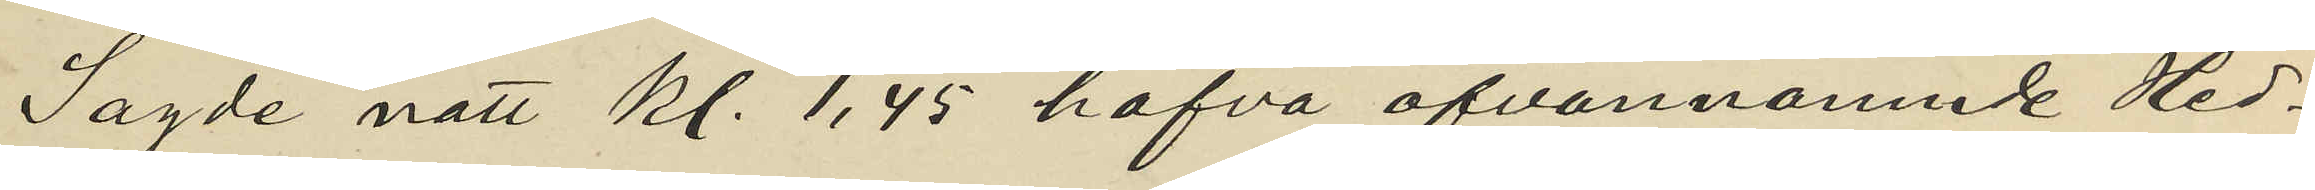Sagde natt kl. 1,45 hafva ofvannämnde Hed¬
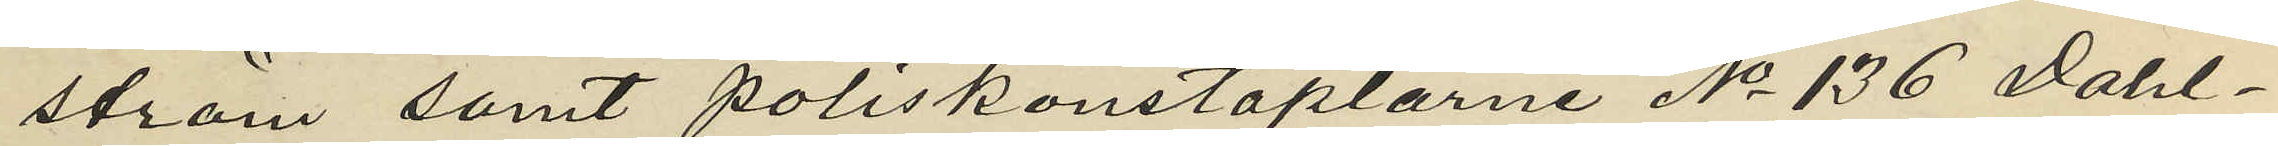ström samt poliskonstaplarne No 136 Dahl¬
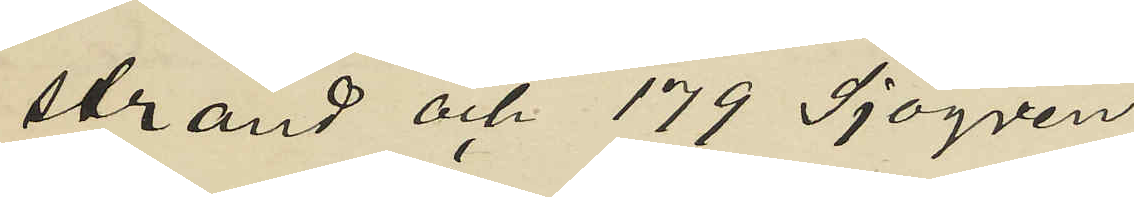strand och 179 Sjögren
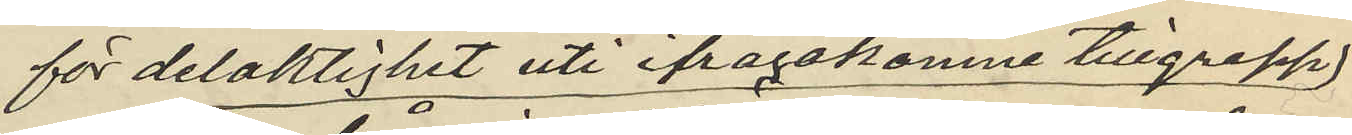för delaktighet uti ifrågakomne tillgrepp;
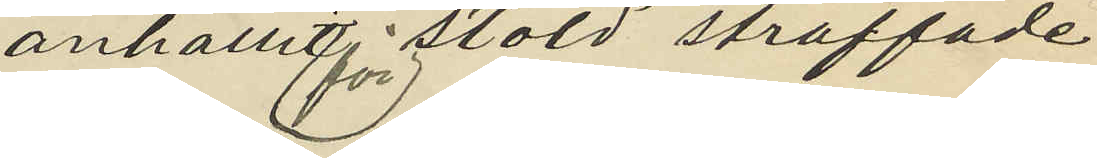anhållit för stöld straffade
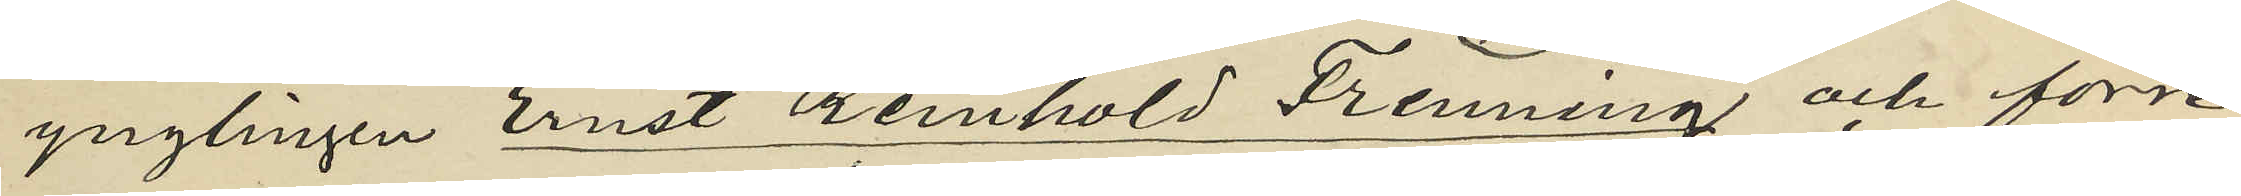ynglingen Ernst Reinhold Frenning och förre
